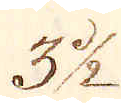3 1/2.
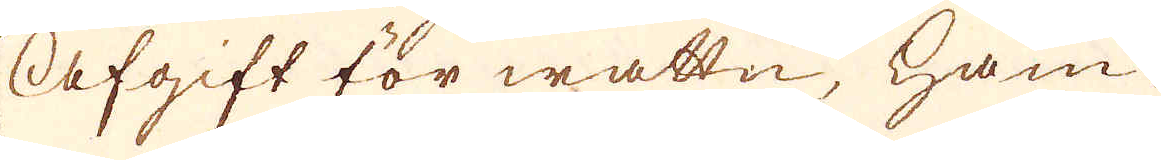Afgift för wattn, ham-
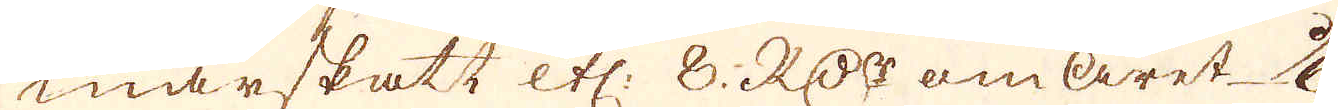marskatt etc: 8. RD:r om året 1/6.
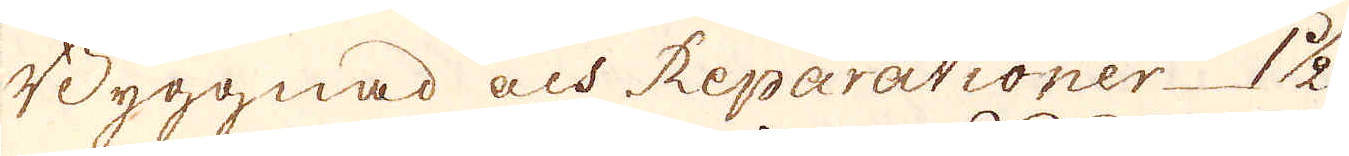Byggnad och Reparationer 1 1/2
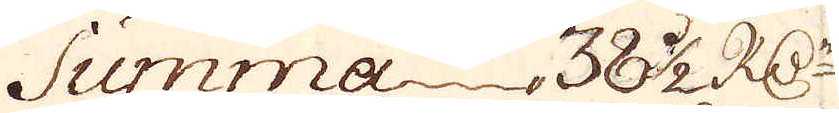Summa 38 1/2 R:Dr
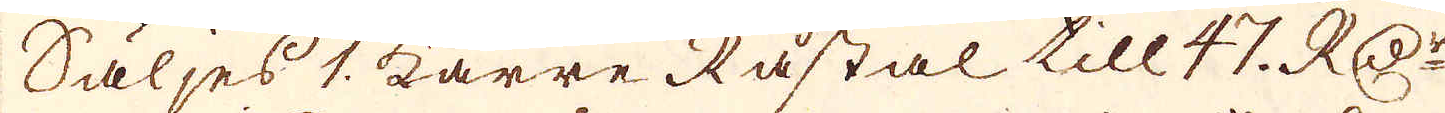Säljes 1. karre Råstål till 47. RD:r
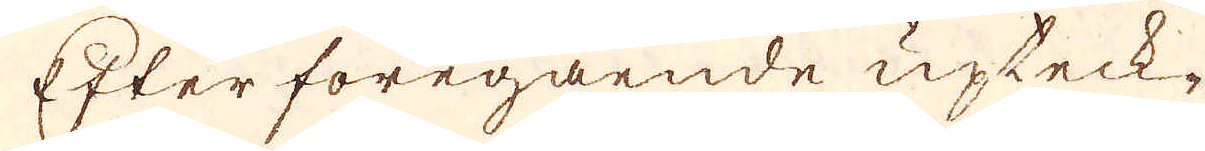Efter föregående upteck-
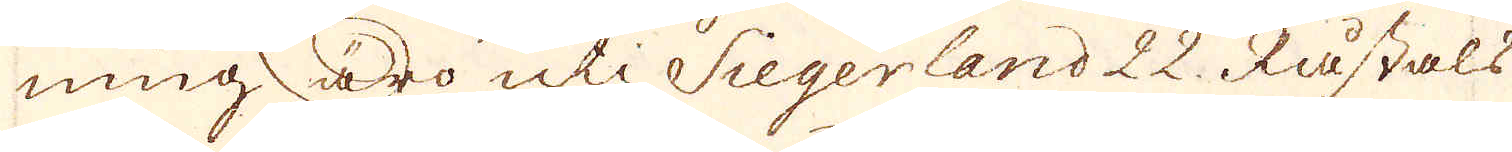ning äro uti Siegerland 22. Råståls
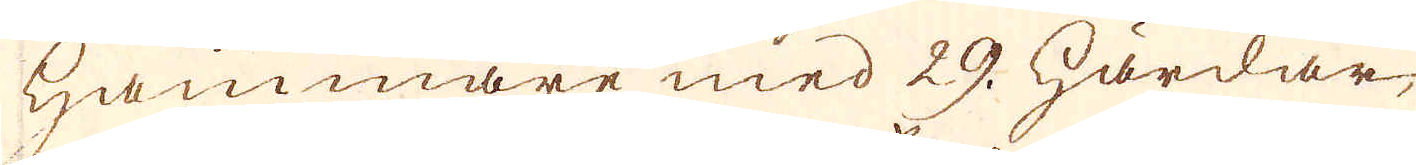hammare med 29. härdar,
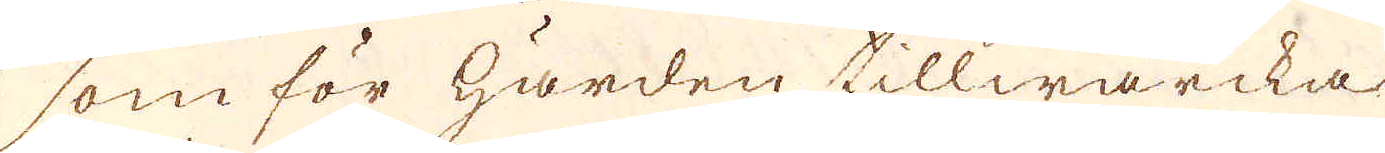som för härden tillwärcka
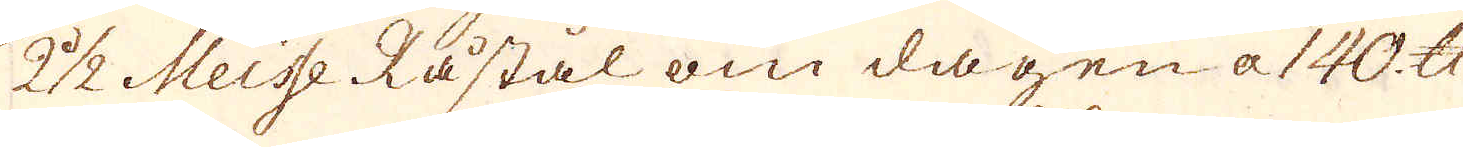2 1/2 Meisse Råstål om dagen a 140 skålpund
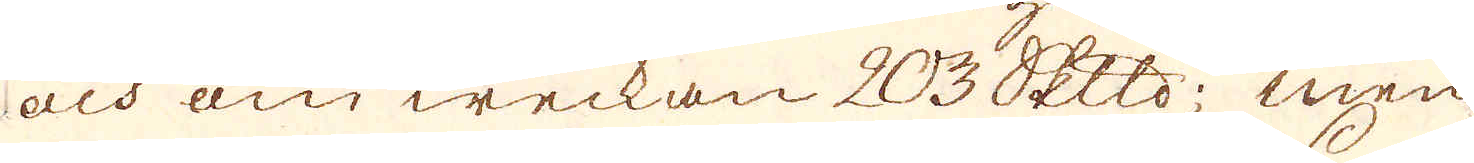och om weckan 203 Skeppund; men
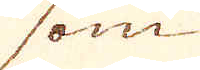som
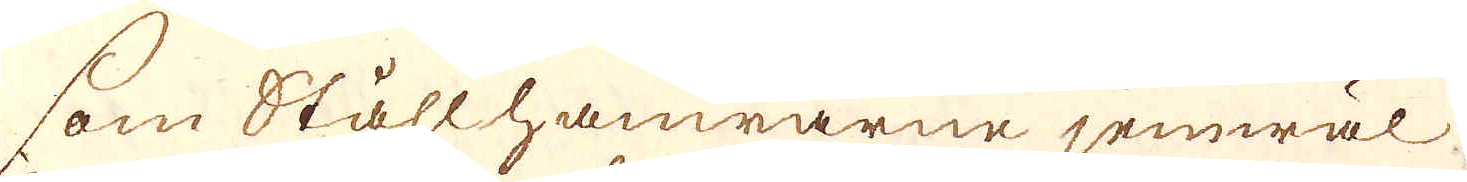som Stållhamrarne jemwäl.
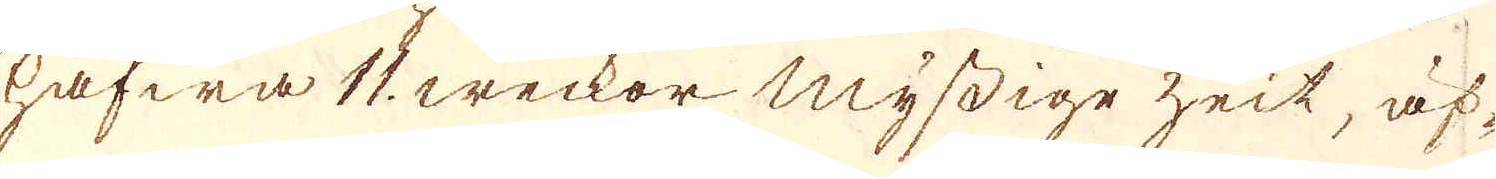hafwa 17. weckor myssige zeit, äf-
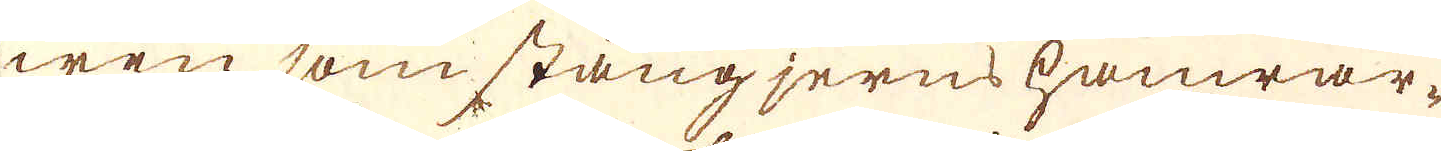wen som stångjerns hamrar-
